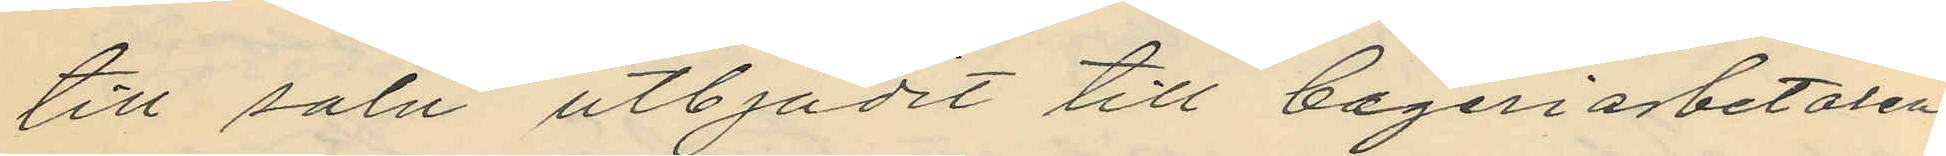till salu utbjudit till bageriarbetaren
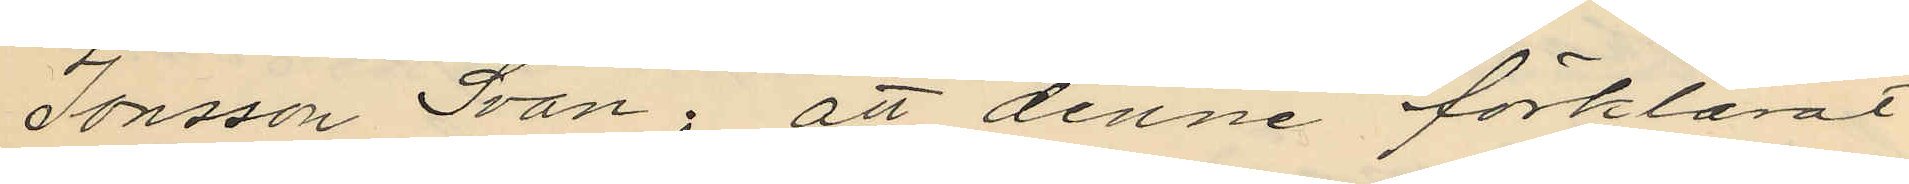Jonsson Svan; att denne förklarat
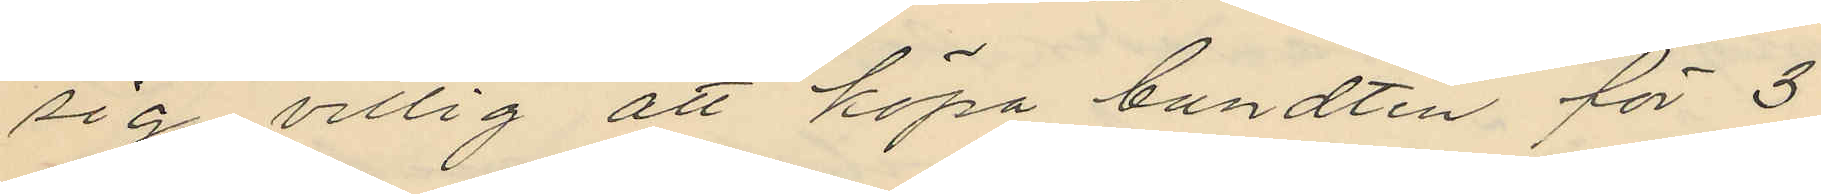sig villig att köpa bundten för 3
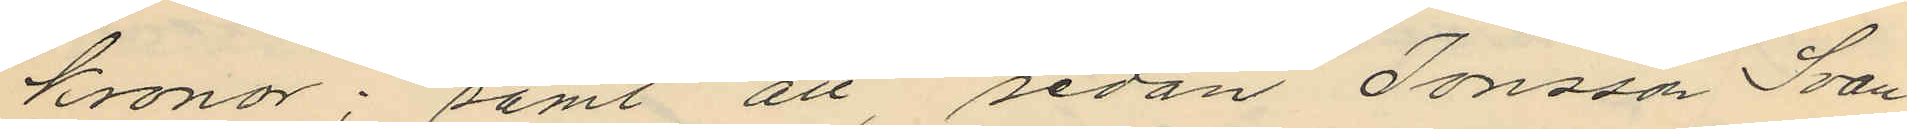Kronor; samt att, sedan Jonsson Svan
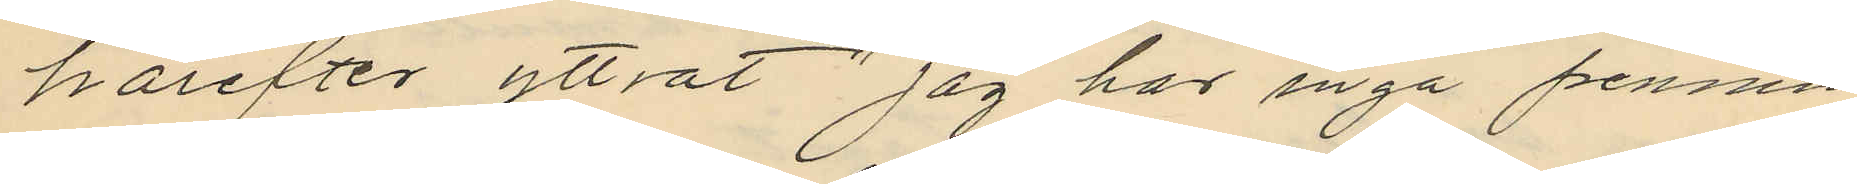härefter yttrat "jag har inga pennin¬
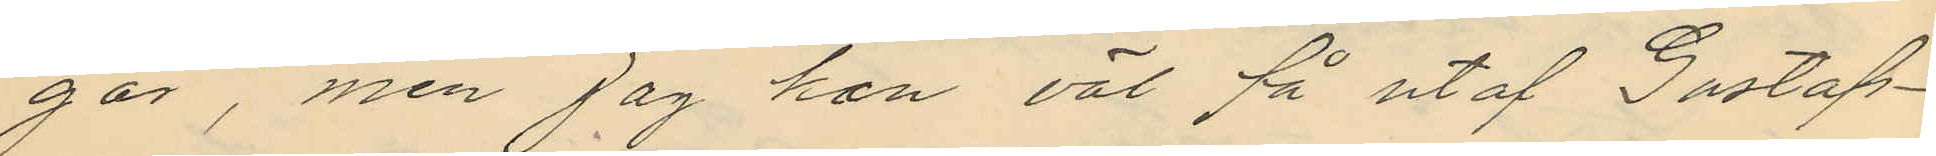gar, men jag han väl få utaf Gustaf¬
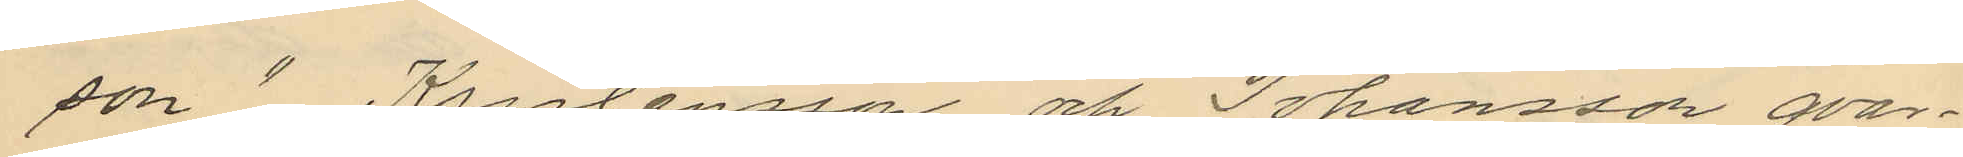son",  Kristensson och Johansson qvar¬
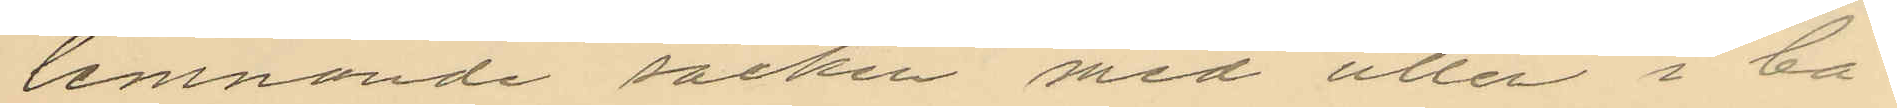lemnande säcken med ullen i ba¬
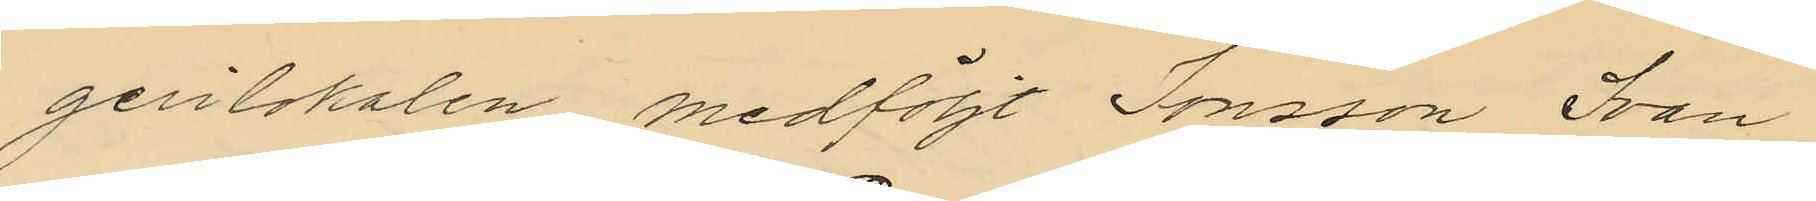gerilokalen medföljt Jonsson Svan
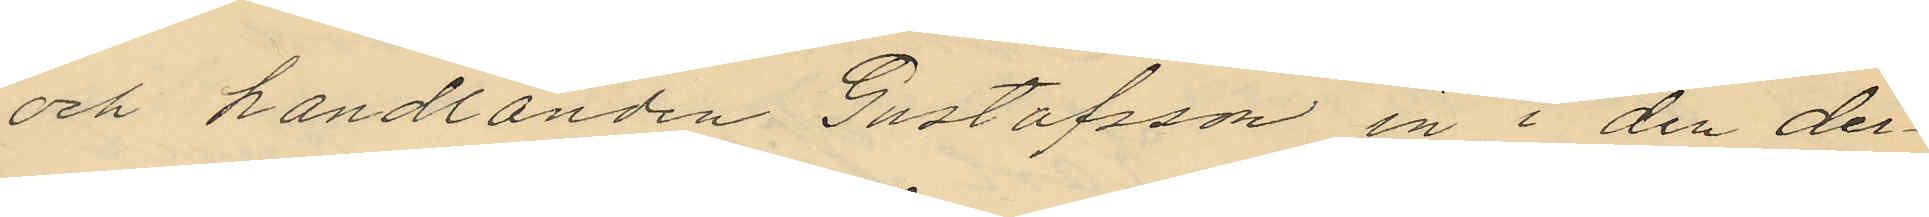och handlanden Gustafsson in i den der¬
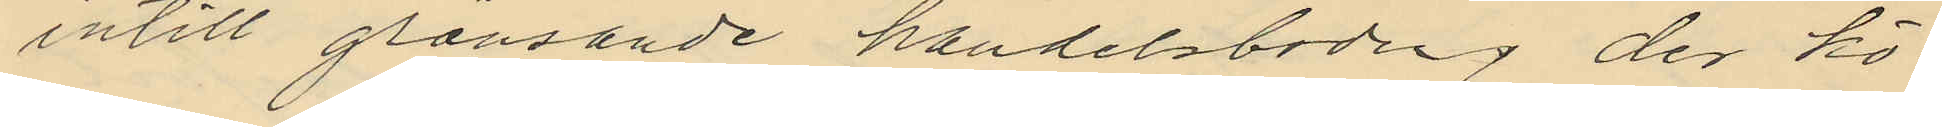intill gränsande handelsboden, der kö¬
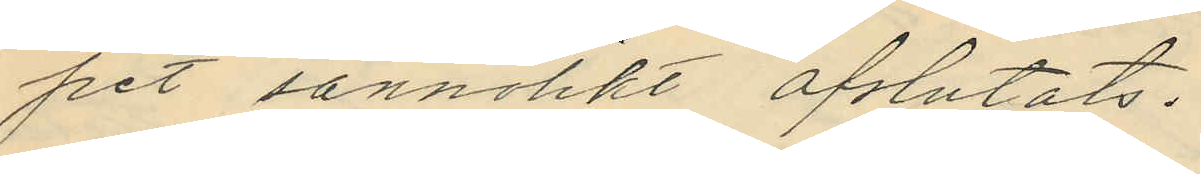pet sannolikt afslutats.
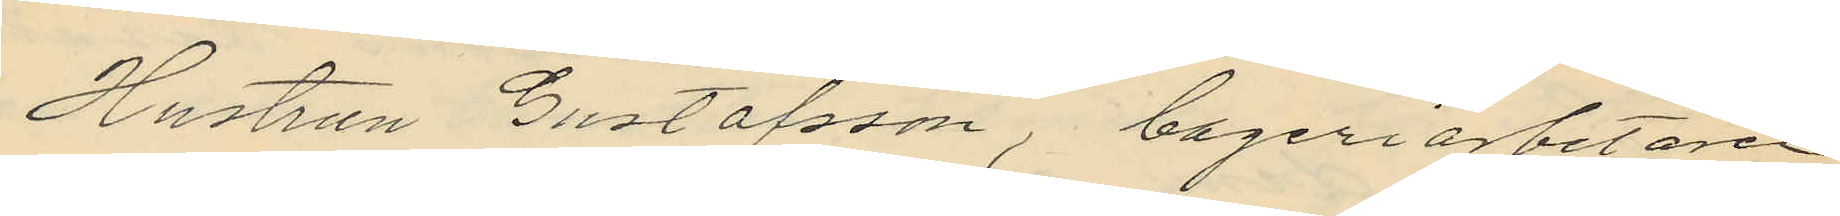Hustrun Gustafsson, bageriarbetaren
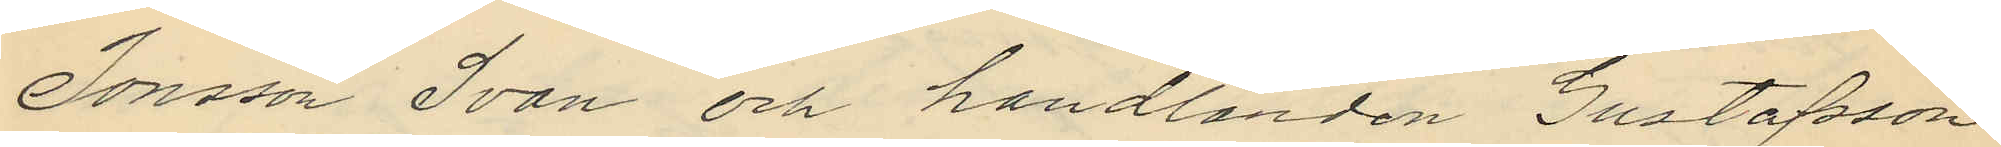Jonsson Svan och handlanden Gustafsson
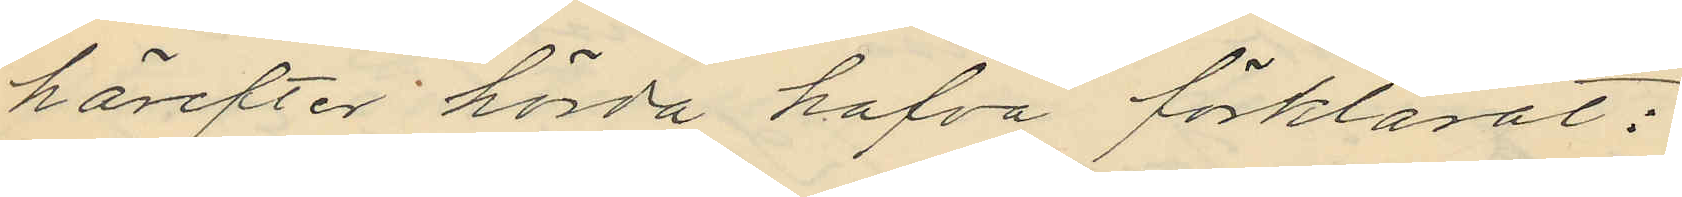härefter hörda hafva förklarat:
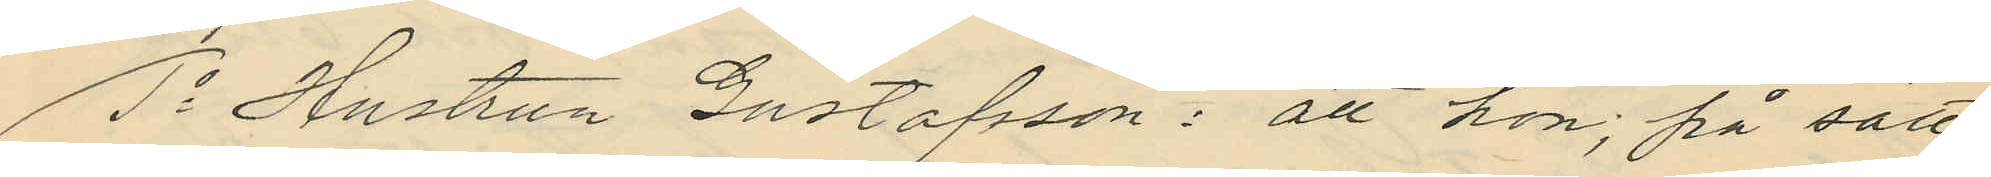1o Hustrun Gustafsson: att hon; på sätt
